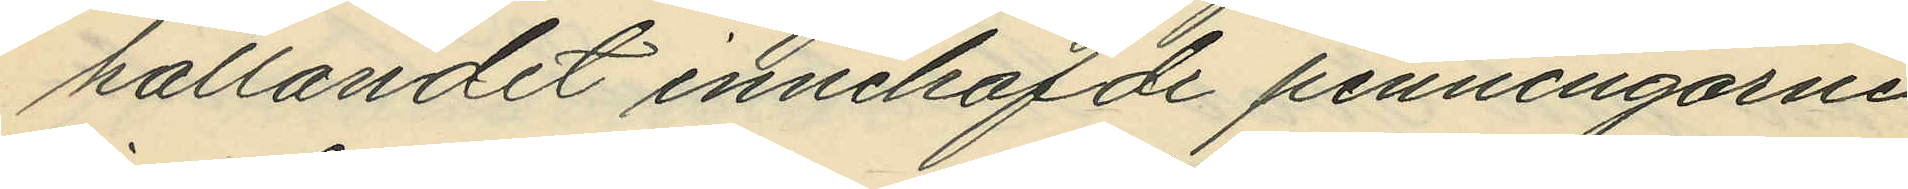hållandet innehafde penningarne
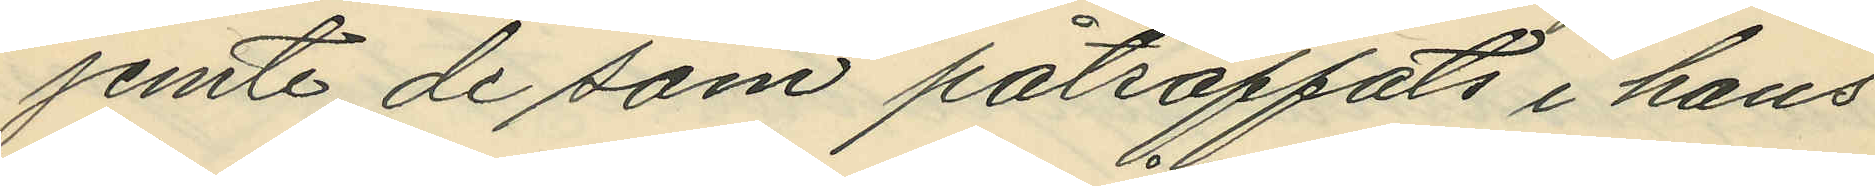jemte de som påträffats i hans
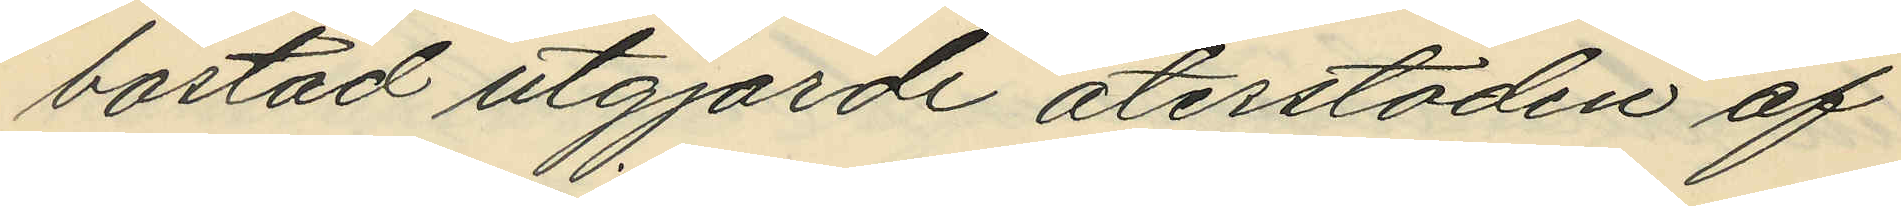bostad utgjorde återstoden af
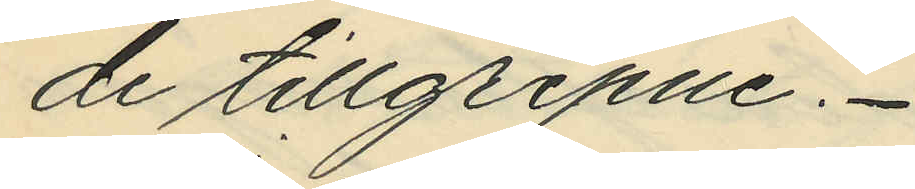de tillgripne.
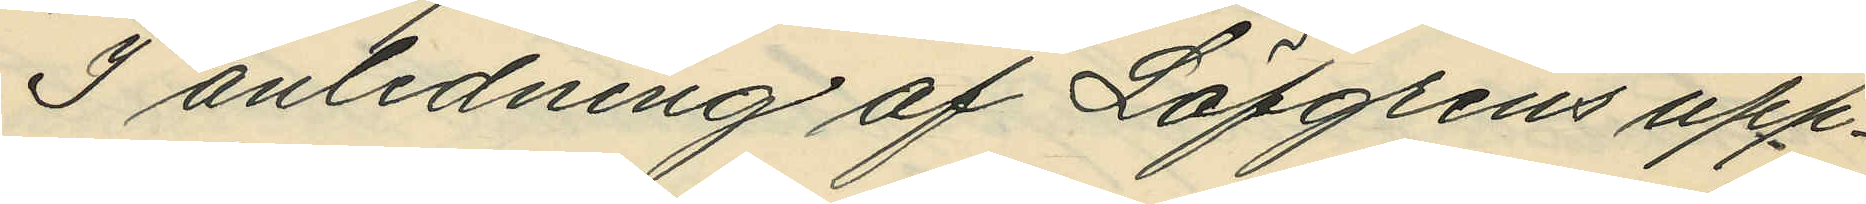I anledning af Löfgrens upp¬
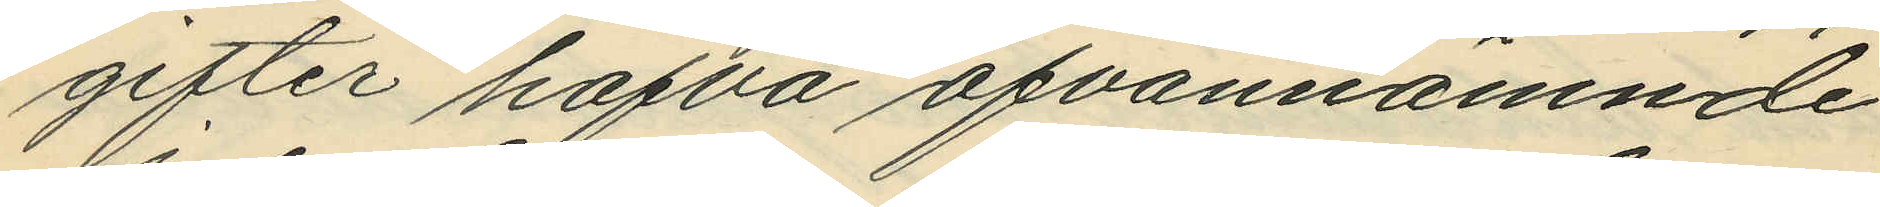gifter hafva ofvannämnde
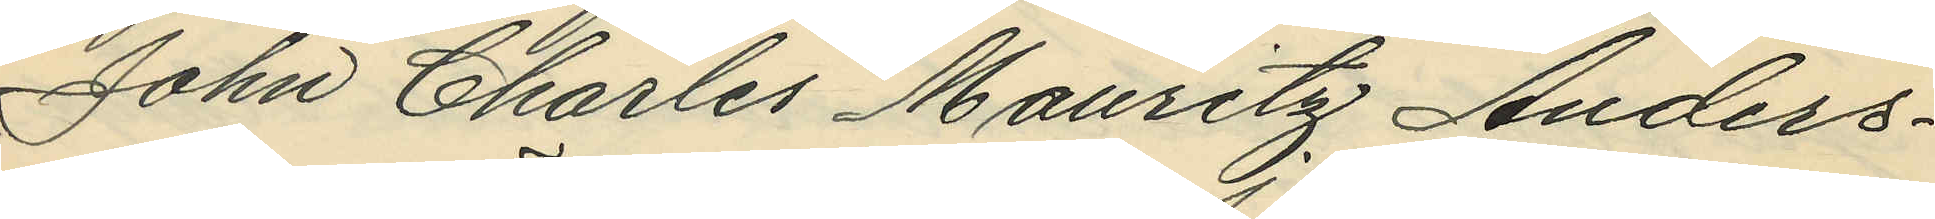John Charles Mauritz Anders¬
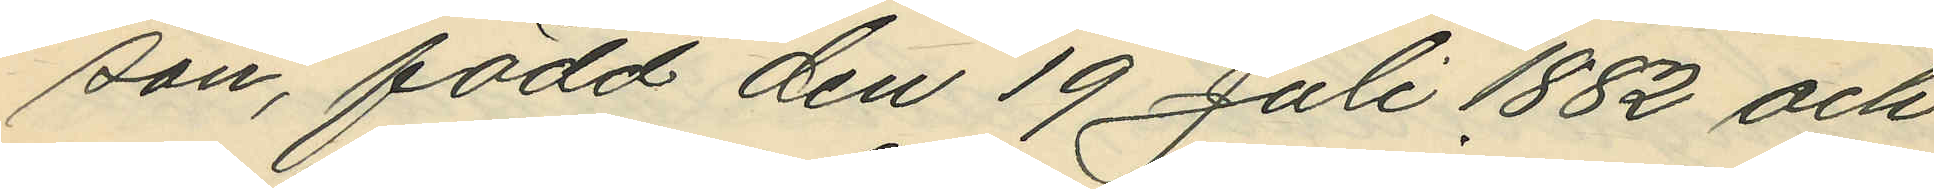son, född den 19 Juli 1882 och
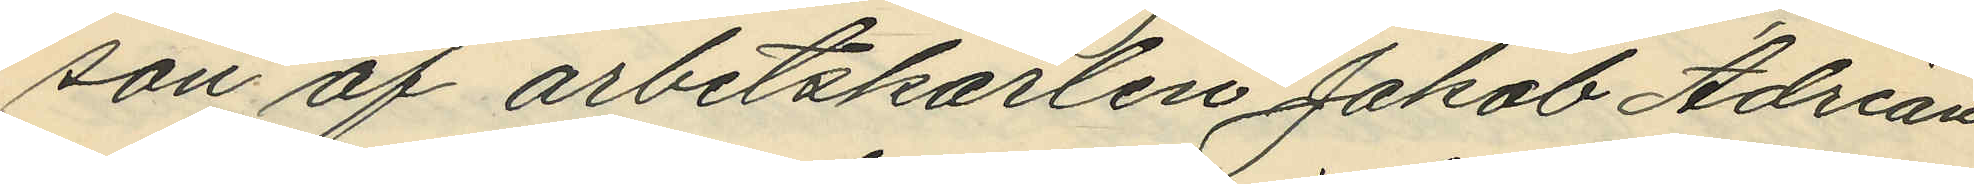son af arbetskarlen Jakob Adrian
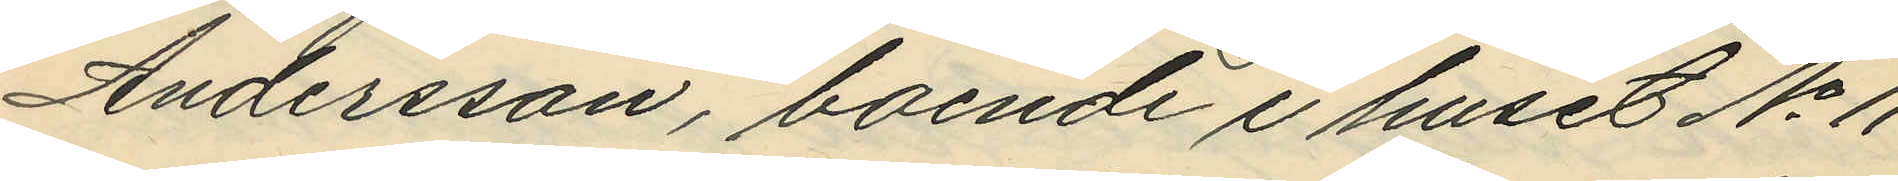Andersson, boende i huset No 11
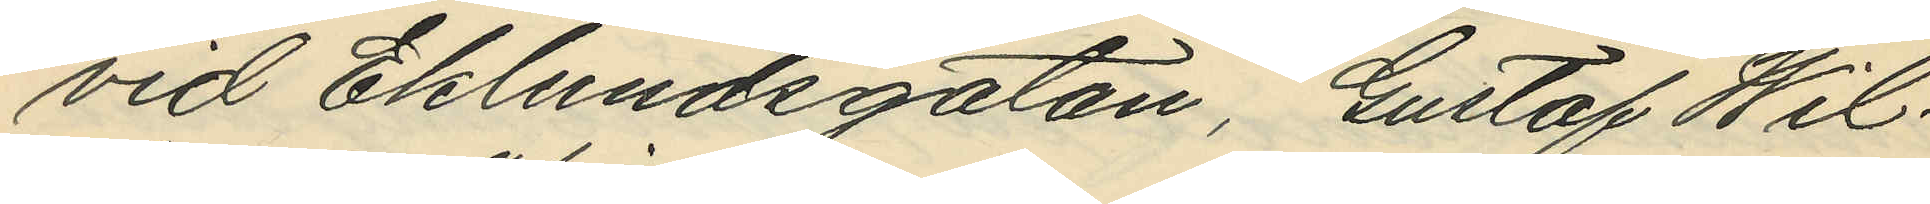vid Eklundsgatan, Gustaf Wil¬
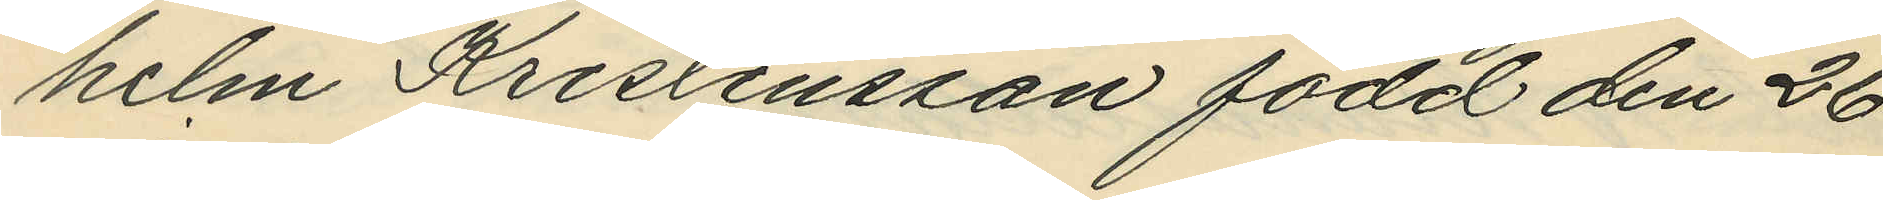helm Kristensson född den 26
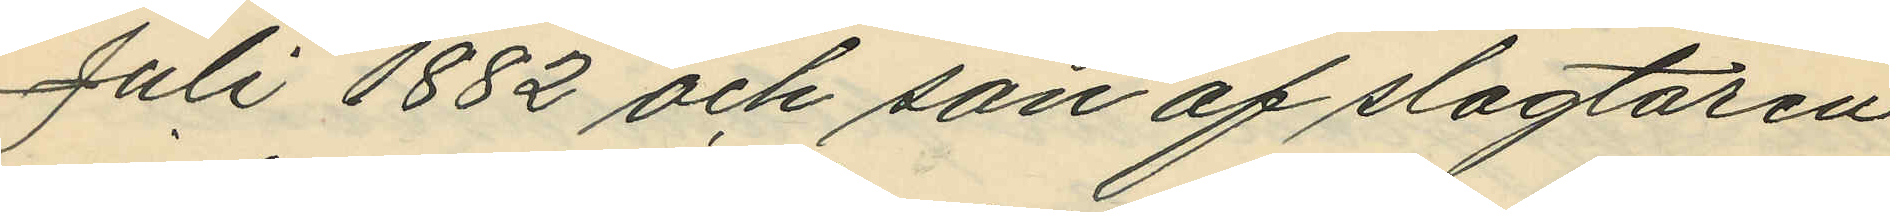Juli 1882 och son af slagtaren
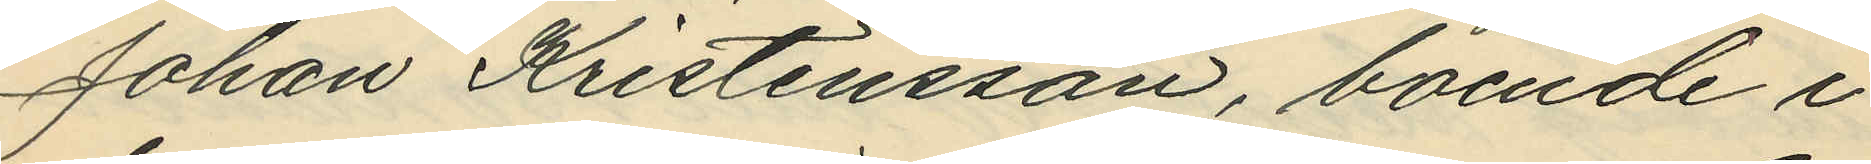Johan Kristensson, boende i
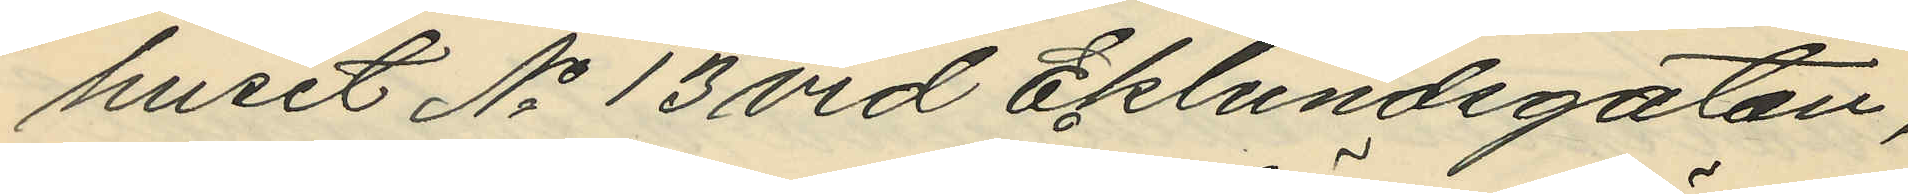huset No 13 vid Eklundsgatan,
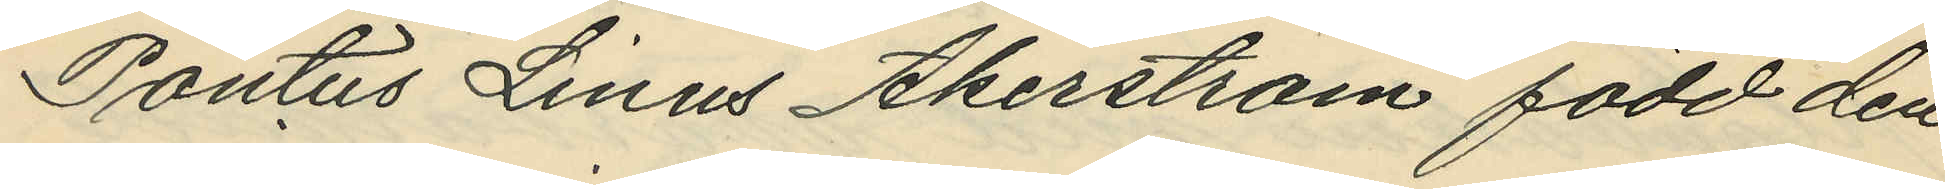Pontus Linus Åkerström född den
